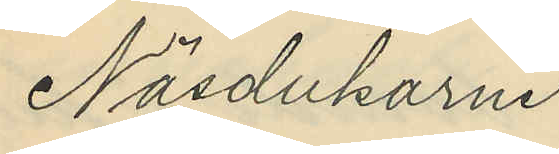Näsdukarne
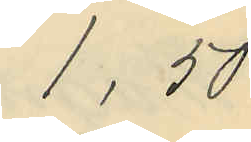1,50
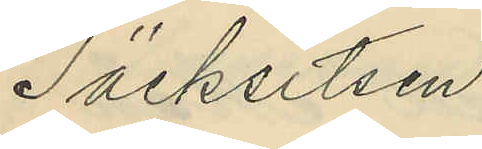Täcksitsen
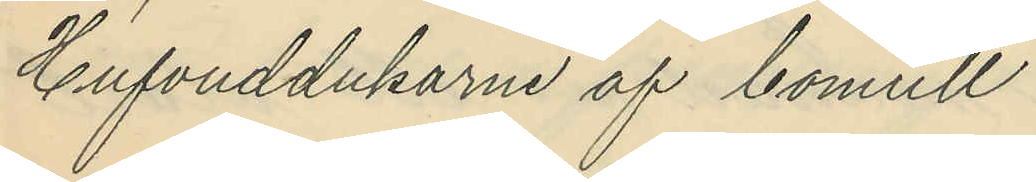Hufvuddukarne af bomull
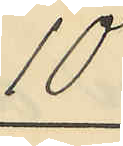10
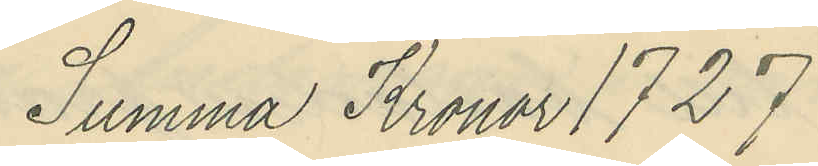Summa Kronor 1727
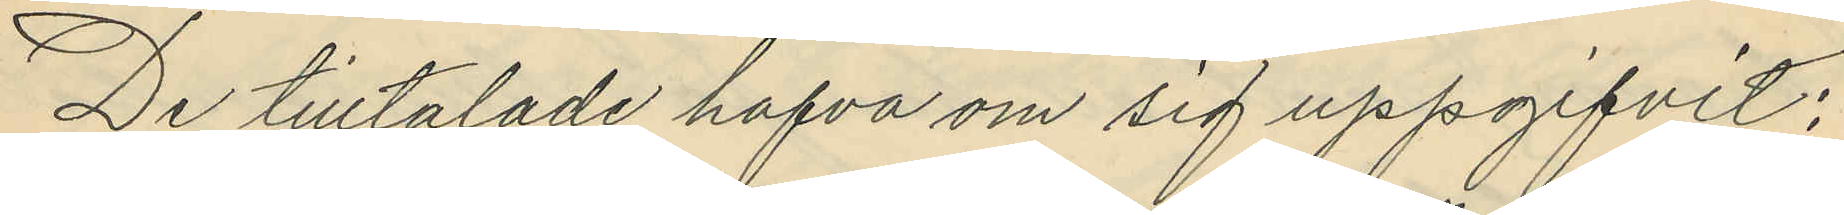De tilltalade hafva om sig uppgifvit;
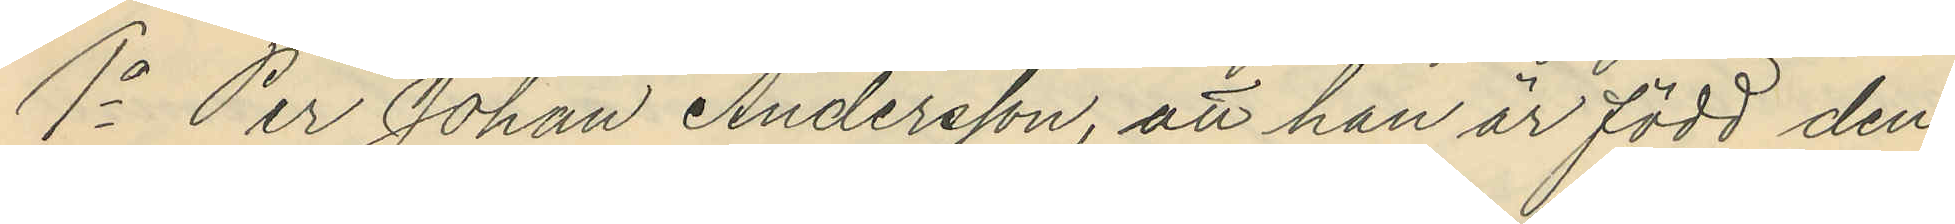1o Per Johan Andersson, att han är född den
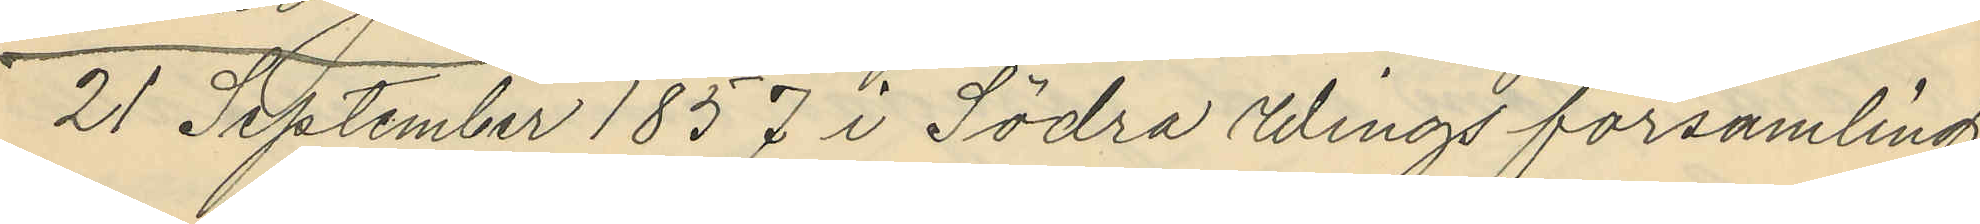21 September 1857 i Södra Wings församling
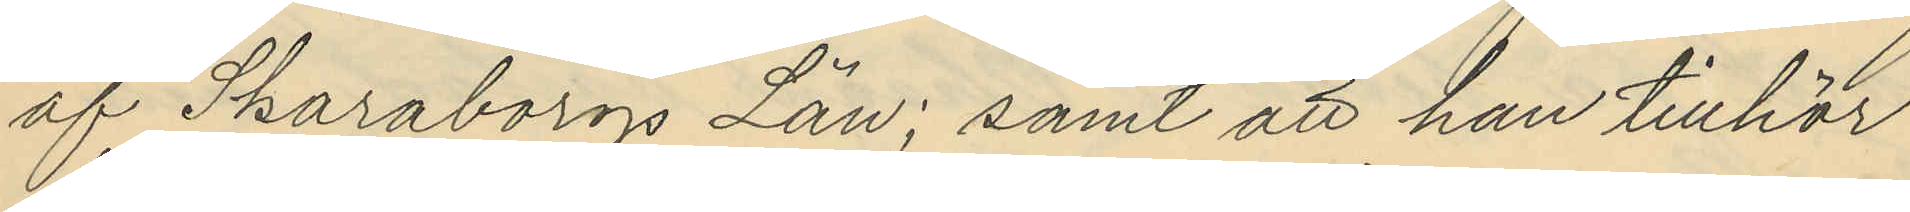af Skaraborgs Län; samt att han tillhör
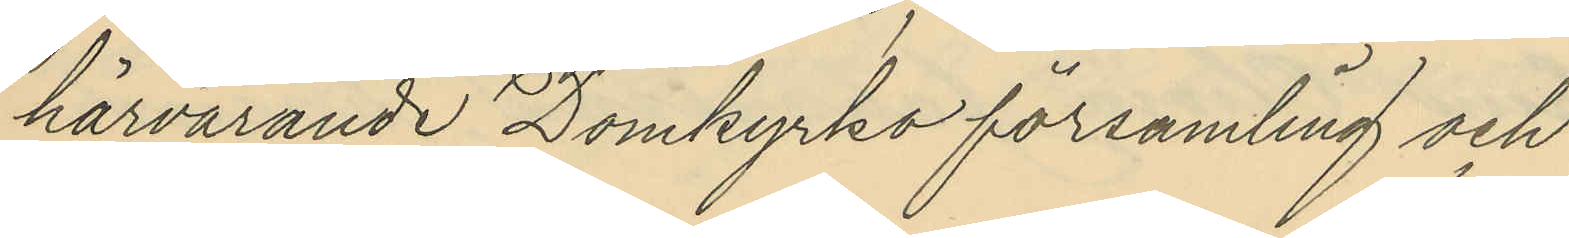härvarande Domkyrko församling och
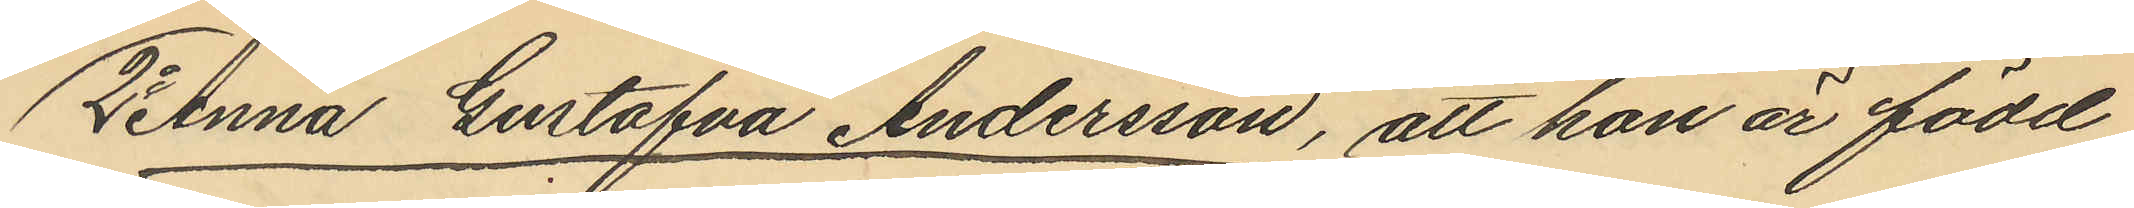2o Anna Gustafva Andersson, att hon är född
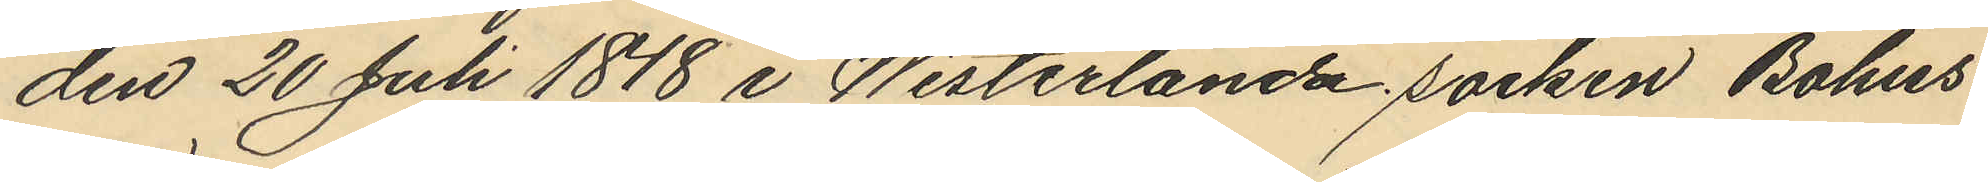den 20 Juli 1848 i Westerlanda socken Bohus
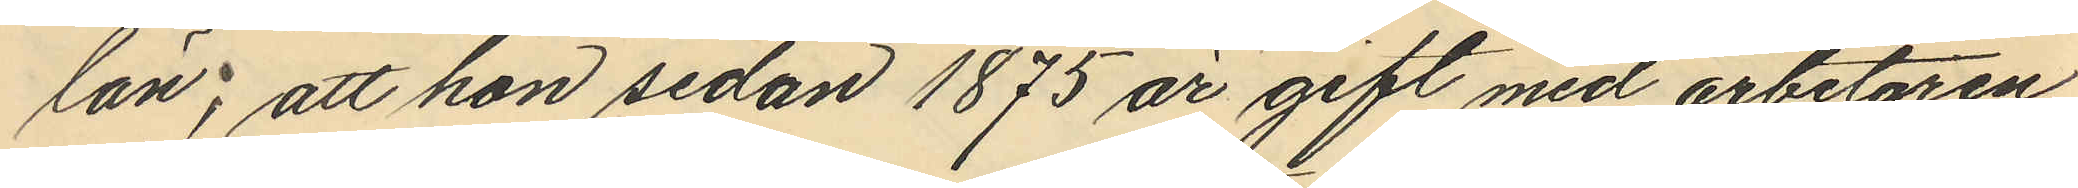län; att hon sedan 1875 år gift med arbetaren
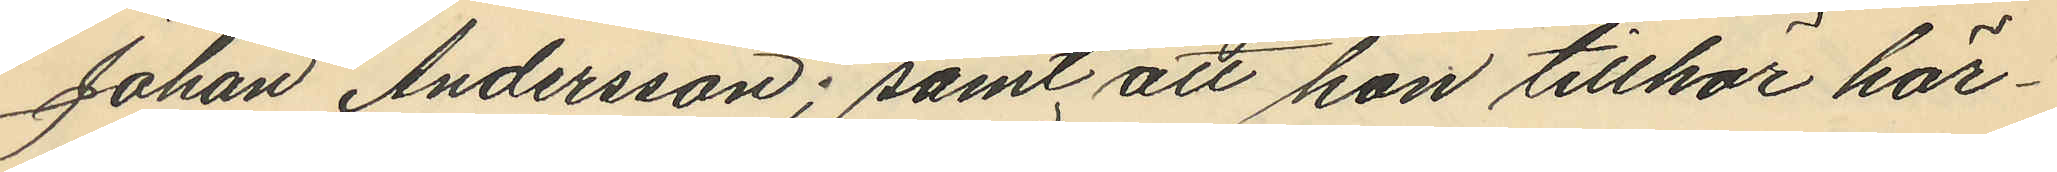Johan Andersson; samt att hon tillhör här¬
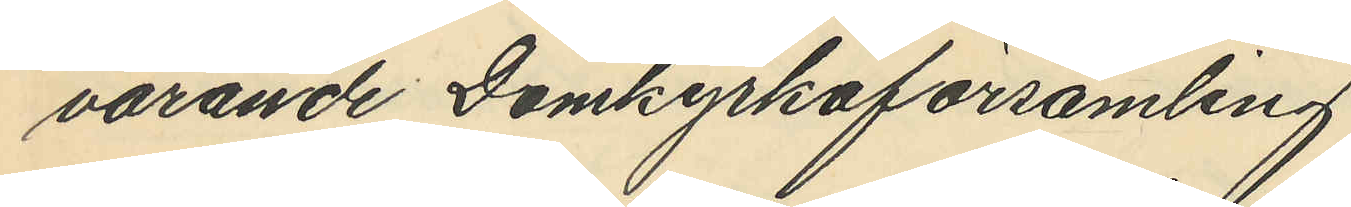varande Domkyrkoförsamling.
